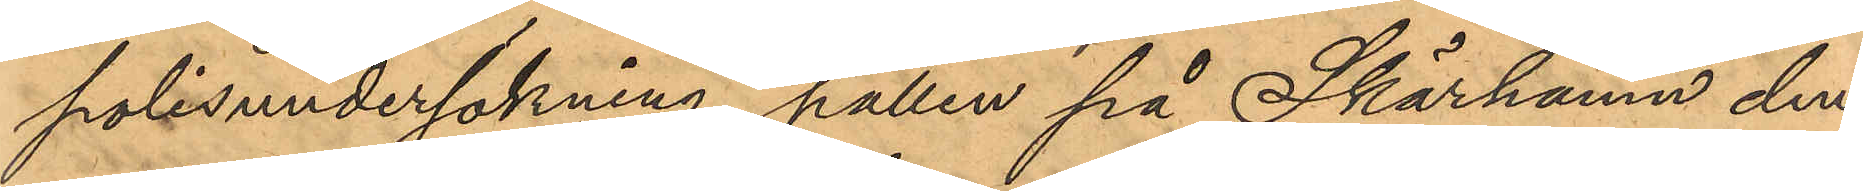polisundersökning, hållen på Skärhamn den
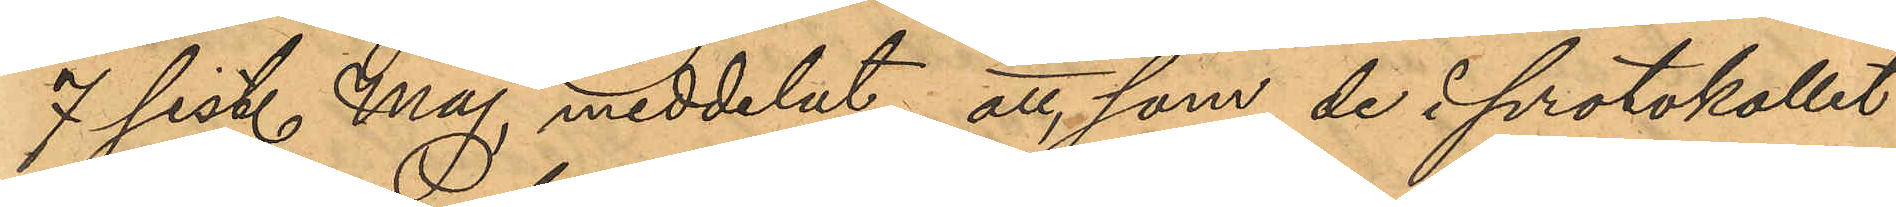7 sist. Maj, meddelat, att, som de i protokollet
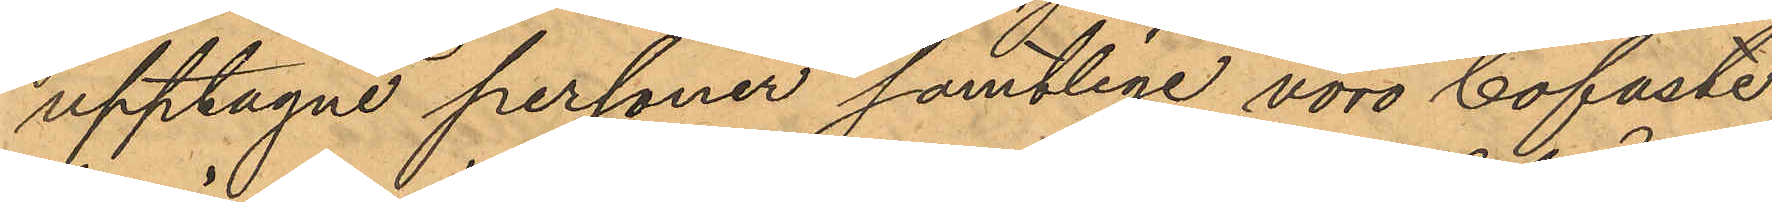upptagne personer samtlige voro bofaste,
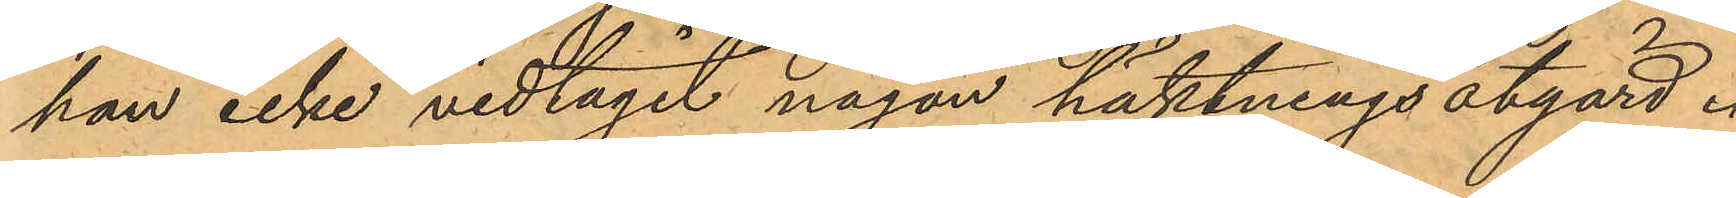han icke vidtagit någon häktningsåtgärd.
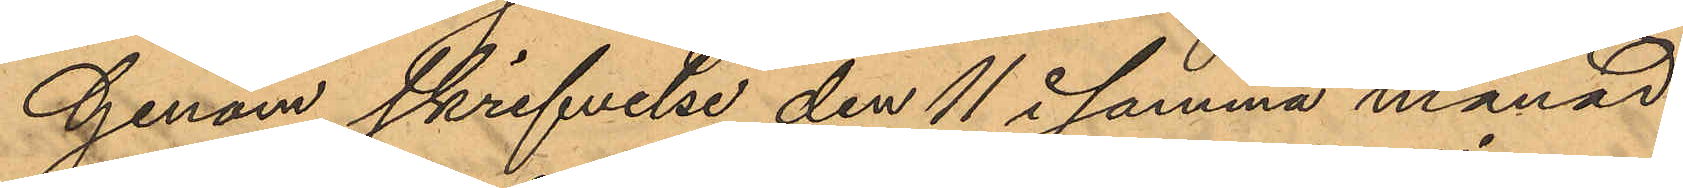Genom skrifvelse den 11 i samma månad
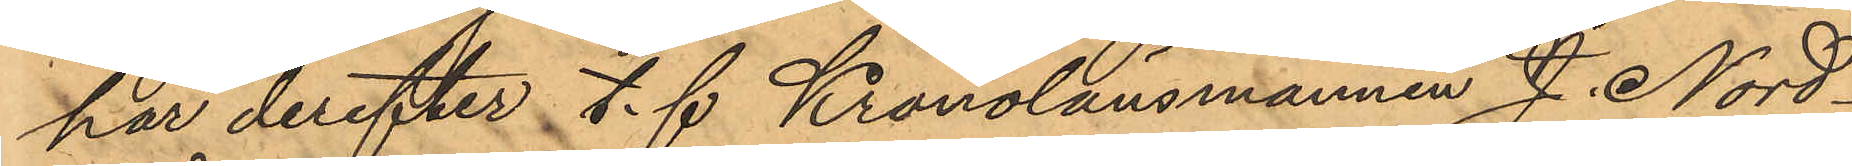har derefter t. f Kronolänsmannen J. Nord¬
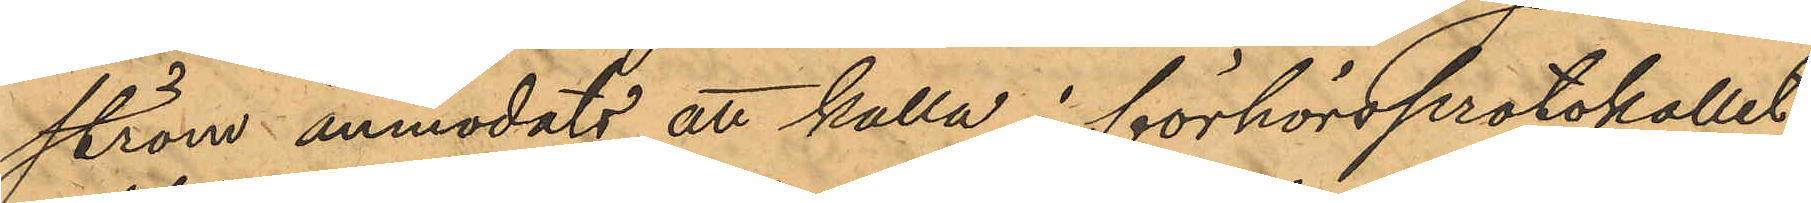ström anmodats att kalla i förhörsprotokollet
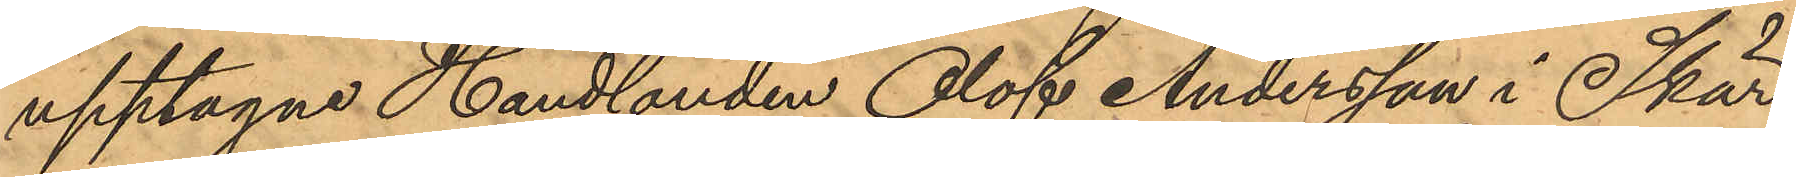upptagne Handlanden Olof Andersson i Skär¬
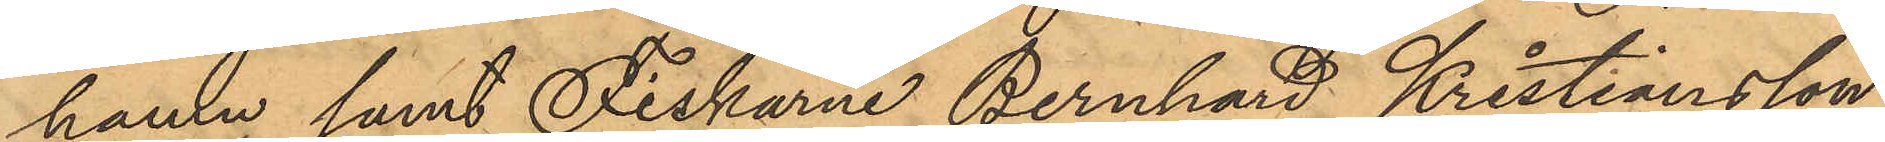hamn samt Fiskarne Bernhard Kristiansson
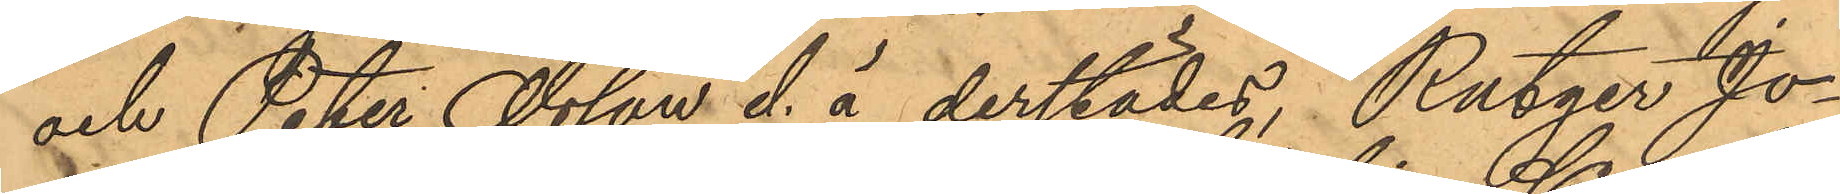och Peter Olsson d. ä derstädes, Rutger Jo¬
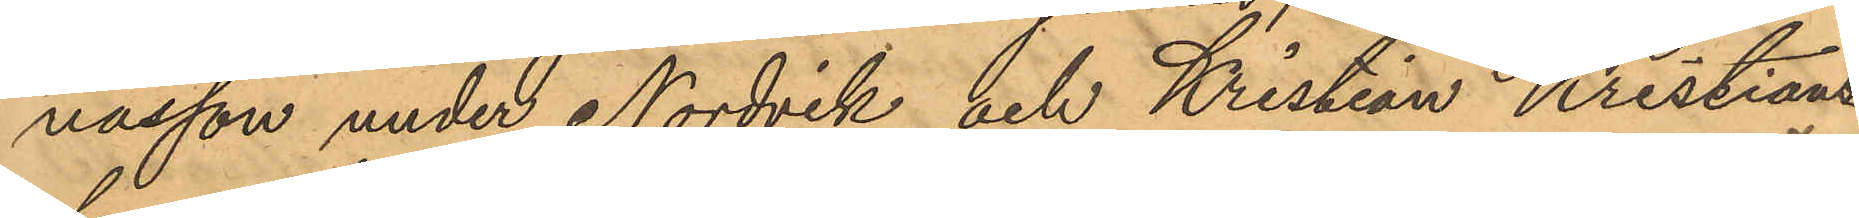nasson under Nordvik och Kristian Kristians¬
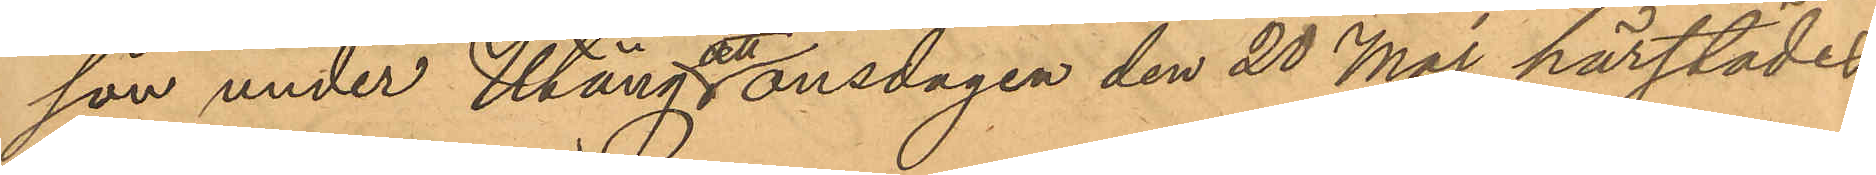son under Utäng och onsdagen den 20 Maj härstädes
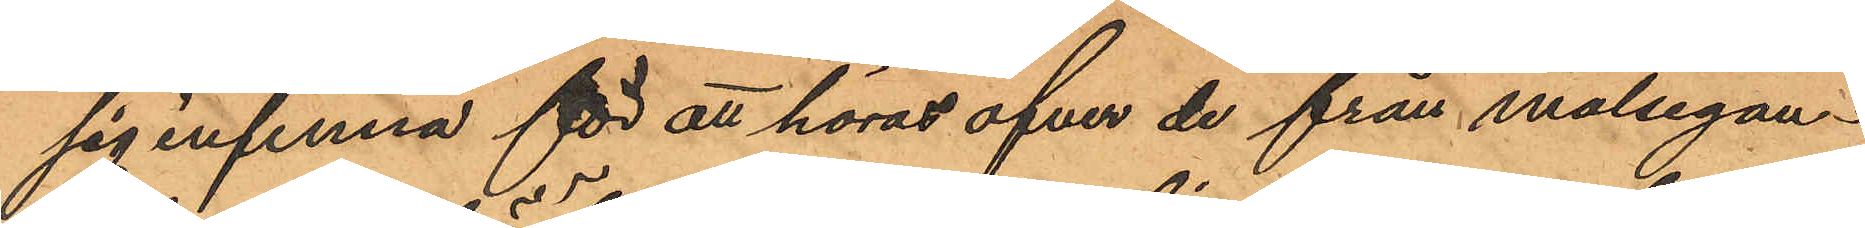sig infinna för att höras öfver de från målsegan¬
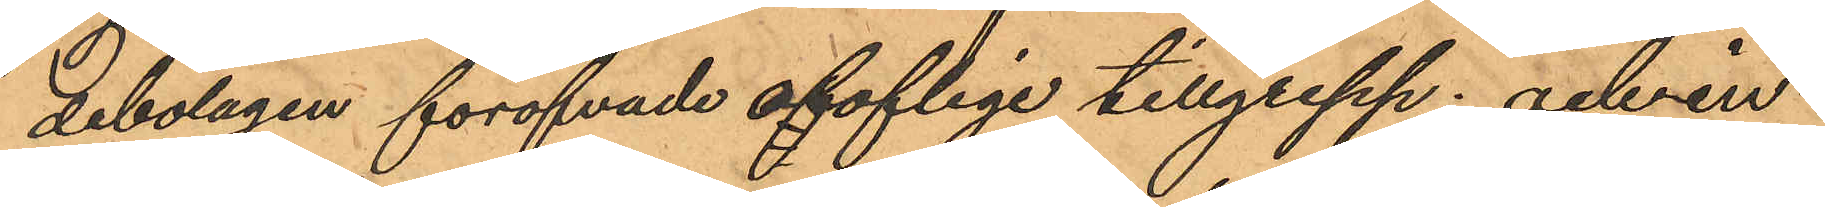debolagen föröfvade oloflige tillgrepp; och in¬
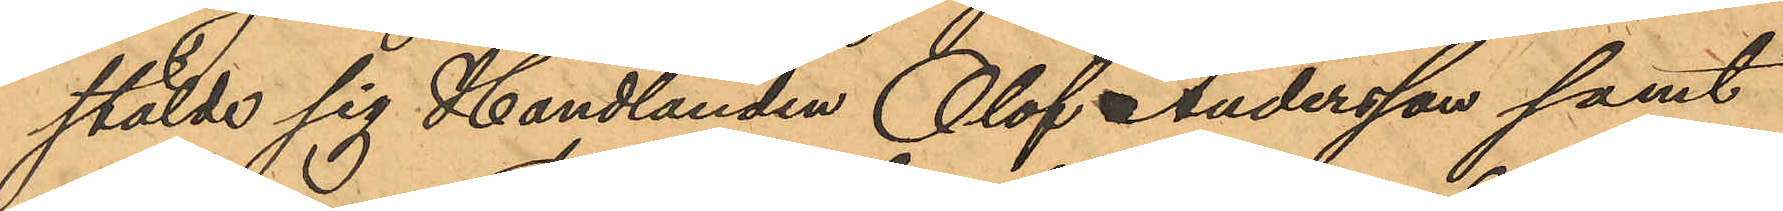stälde sig Handlanden Olof Andersson samt
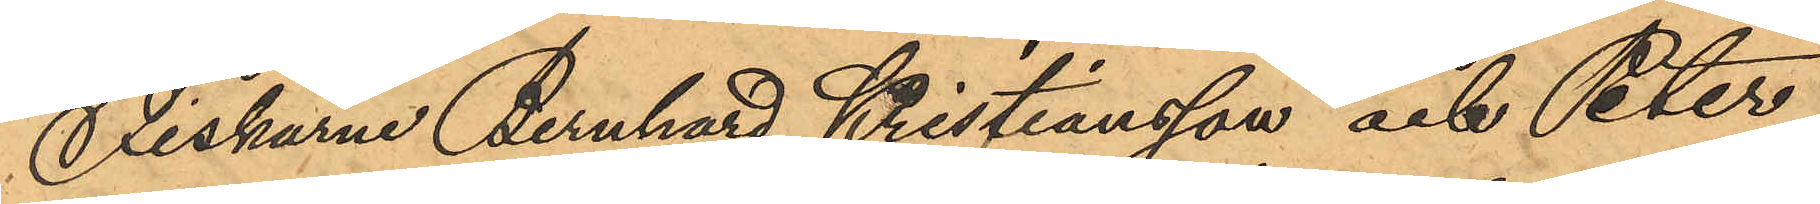Fiskarne Bernhard Kristiansson och Peter
